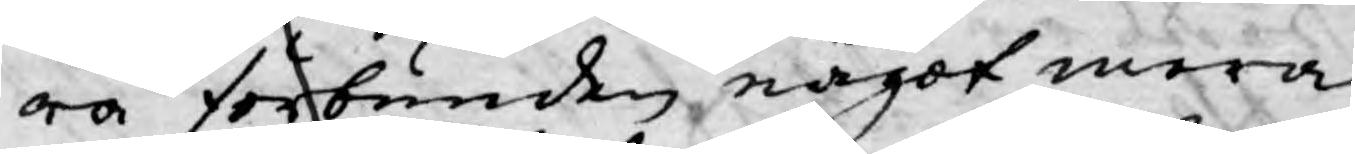ra förbunden, något mera
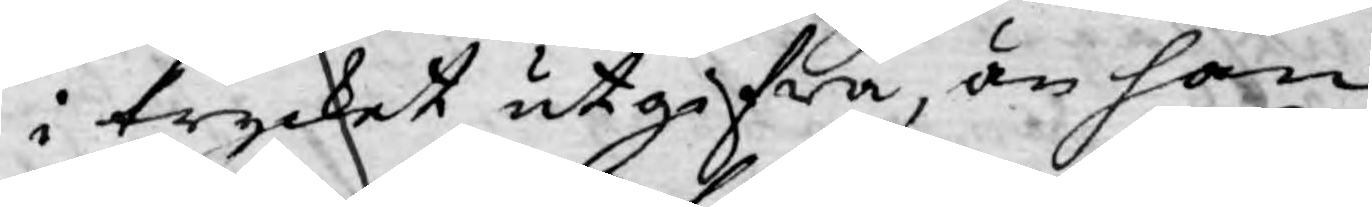i trycket utgifwa, än han
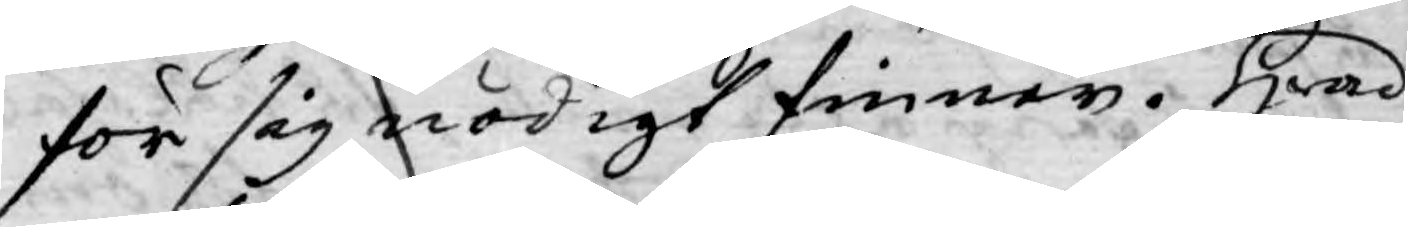för sig nödigt finner. Hwad
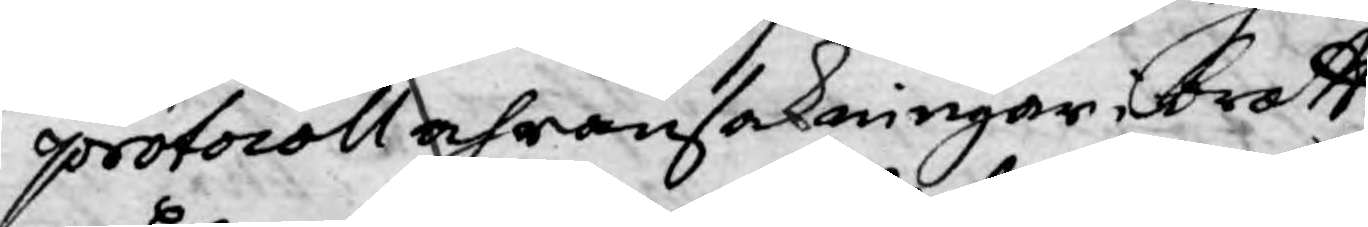protocoll och ransakningar i brott¬
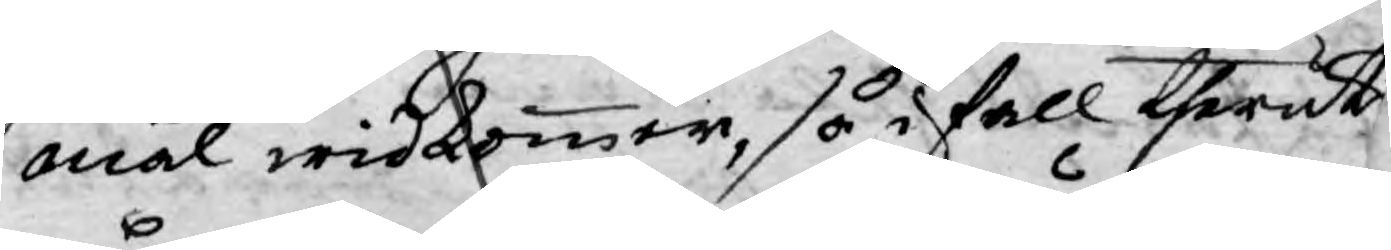mål widkommer, så i fall theruti
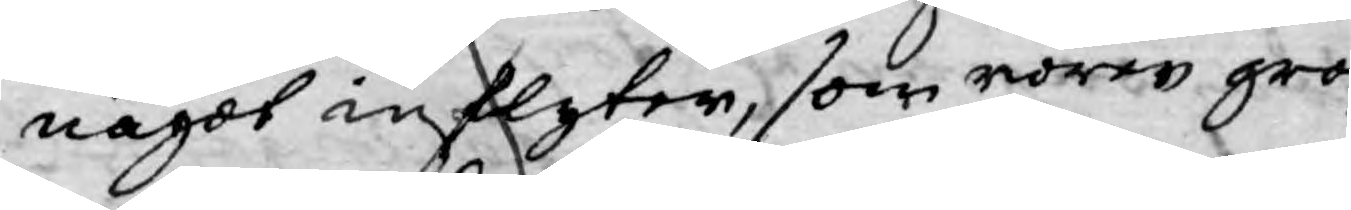något inflyter, som rörer gro¬
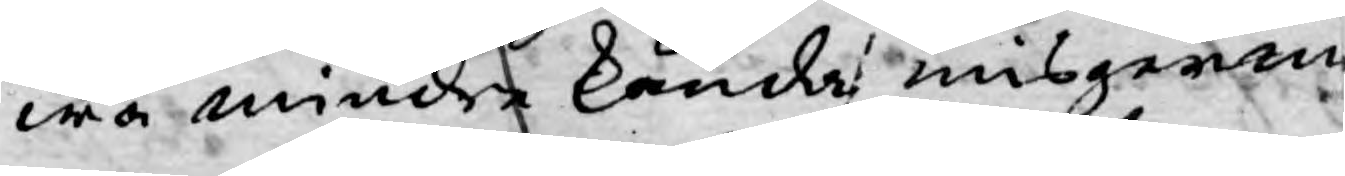wa mindre kända misgerin¬
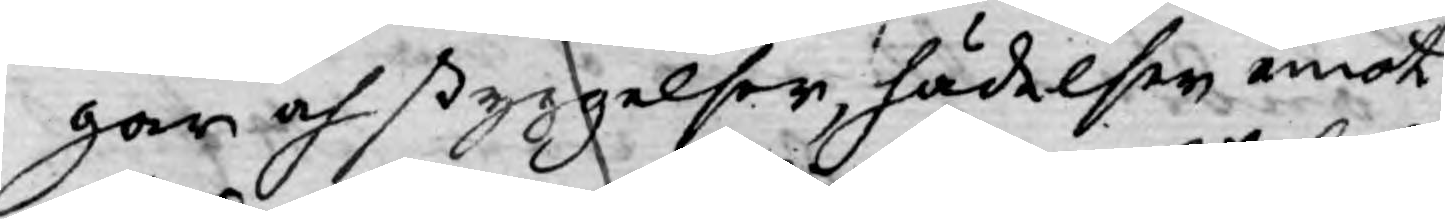gar och styggelser, hädelser emot
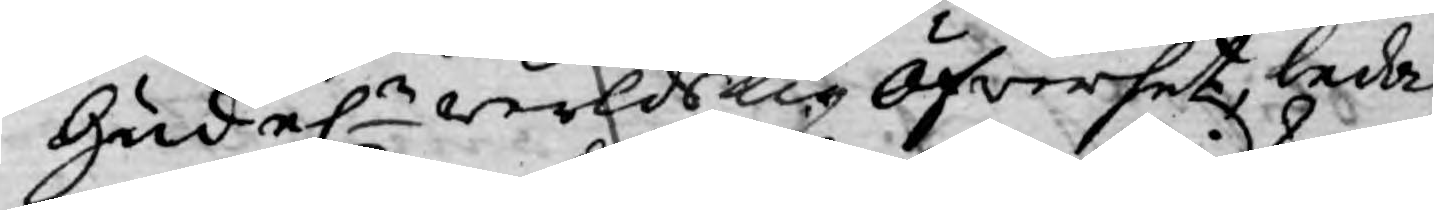Gud el.r werldslig öfwerhet, leda
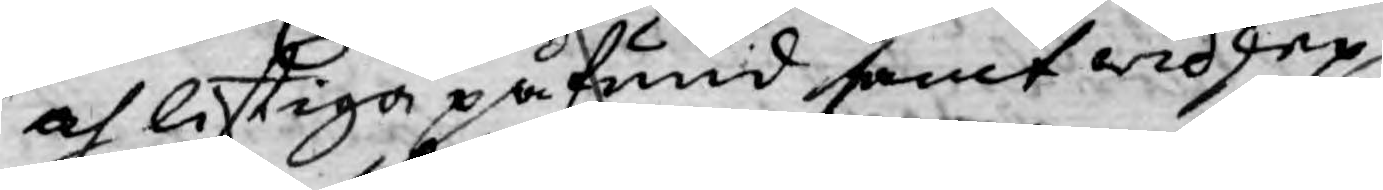och liftiga påfund samt widskep¬
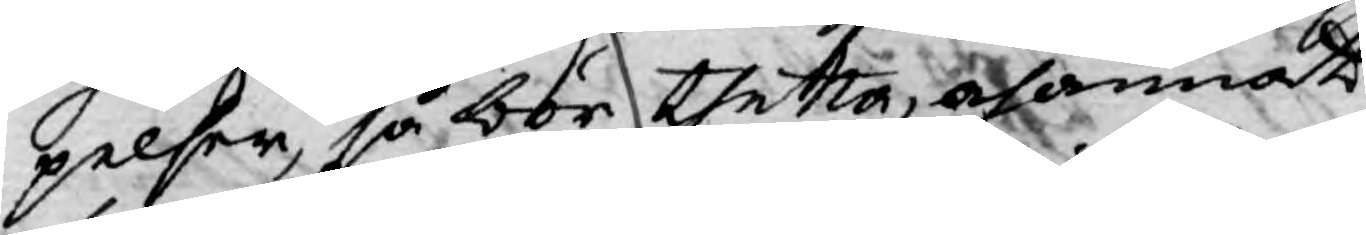pelser, så bör thetta, och annat
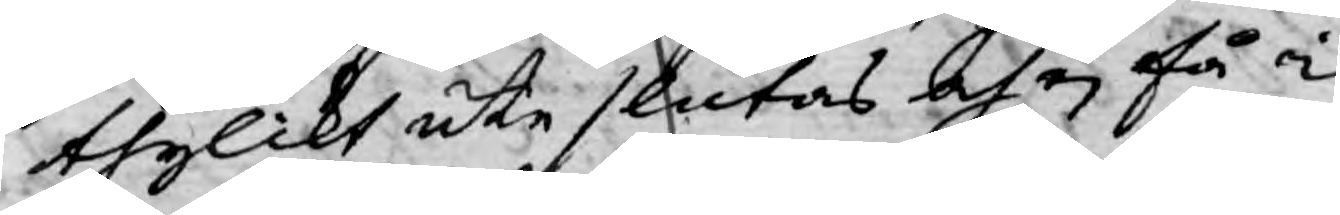thylikt uti slutas och ej få i
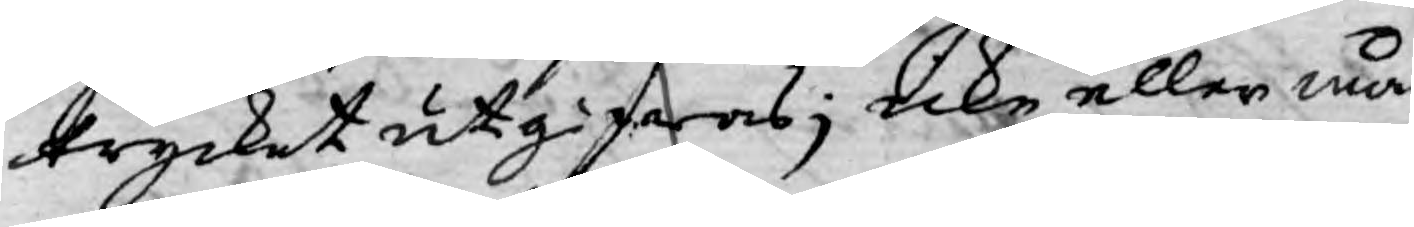trycket utgifwas; icke eller må¬
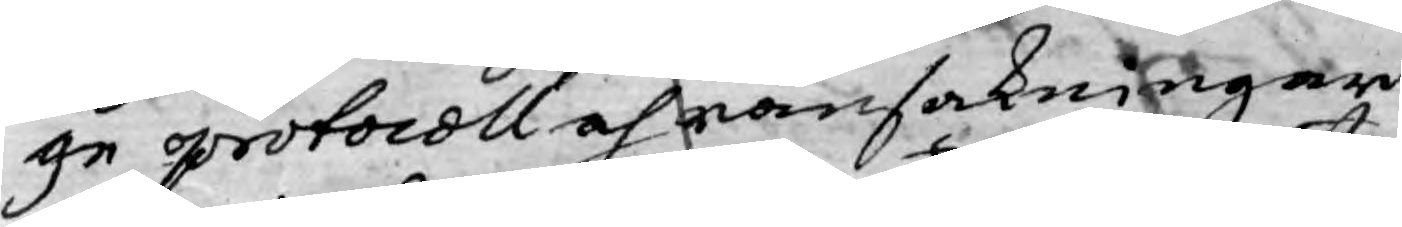ge protocoll och ransakningar
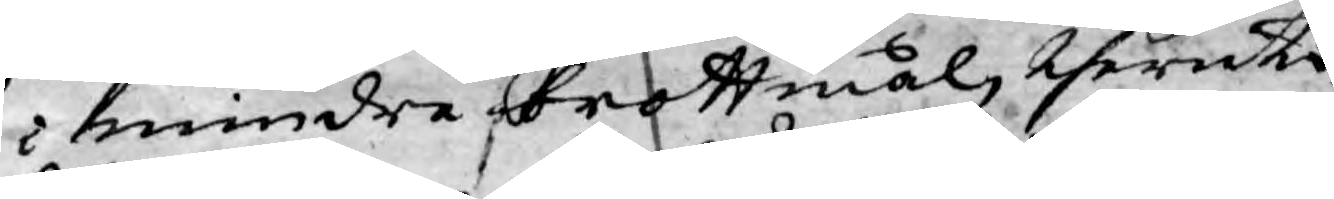i mindre brottmål, theruti
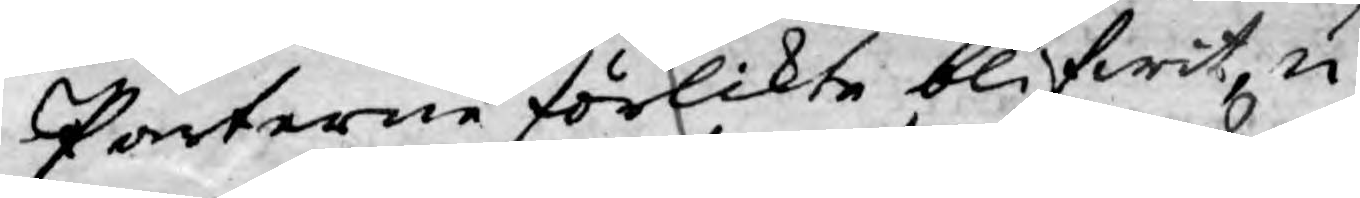Parterne förlikte blifwit, u¬
